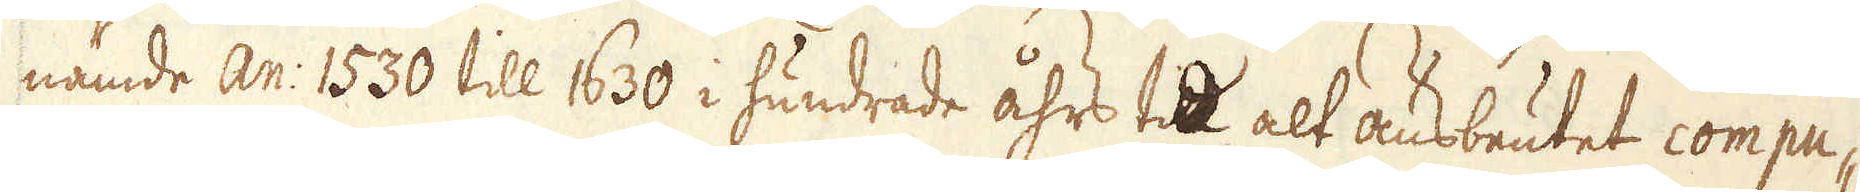nämde An: 1530 till 1630 i hundrade åhrs tid alt ausbeutet compu-
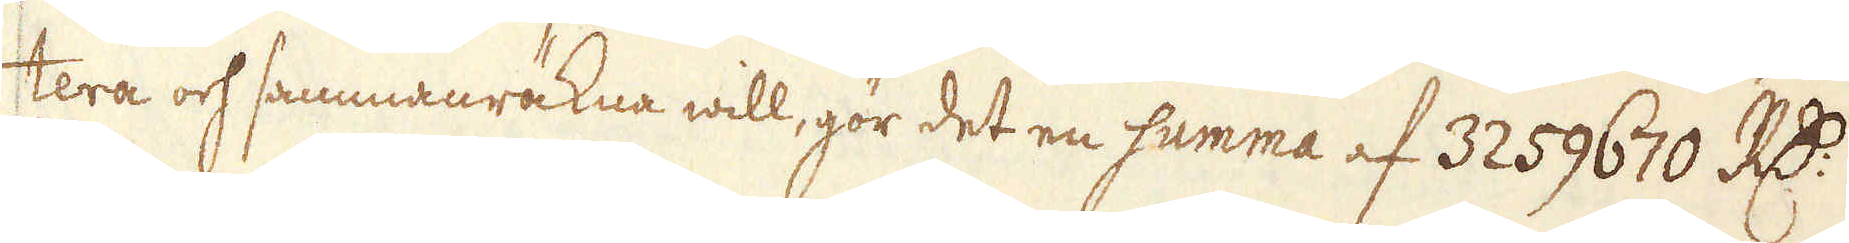tera och sammanräkna will, gör det en summa af 3259670 R:dr
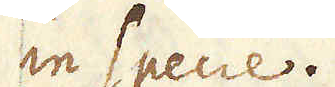in Specie.
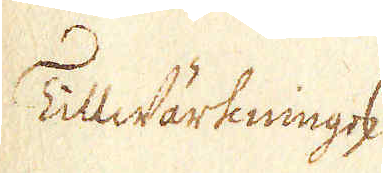Tillwärkningen
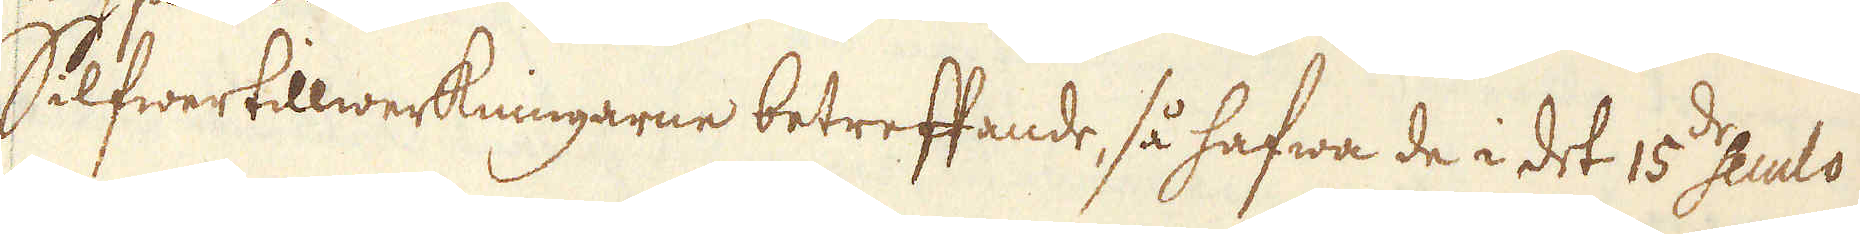Silfwertillwerkningarne betreffande, så hafwa de i det 15de Seuclo
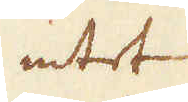intet
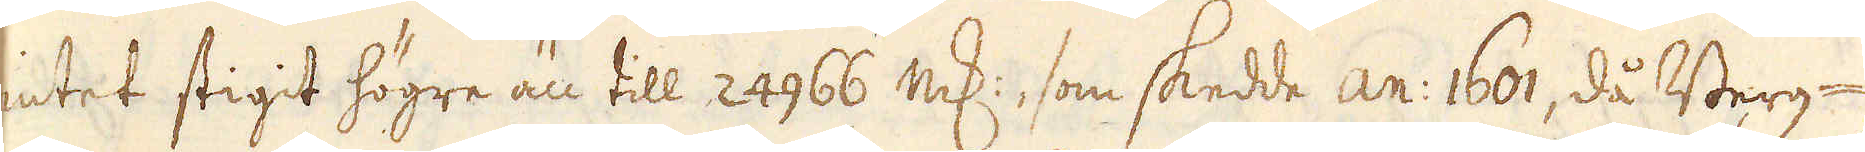intet stigit högre än till 24966 marker, som skedde an: 1601, då Berg-
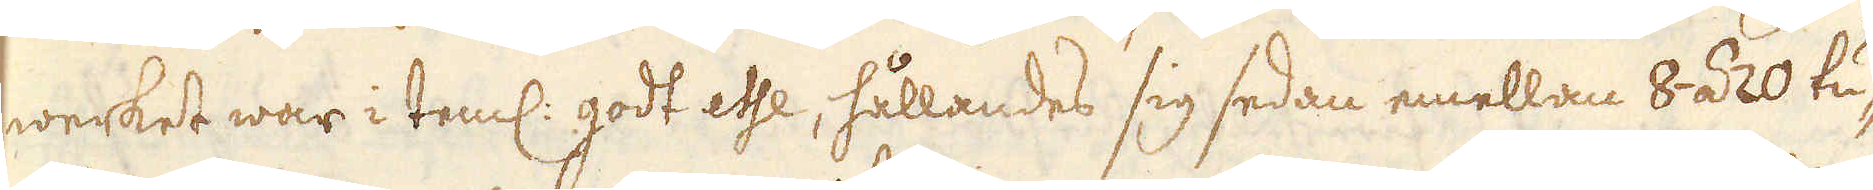werket war i teml: godt esse, hållandes sig sedan emellan 8 á 20 tu-
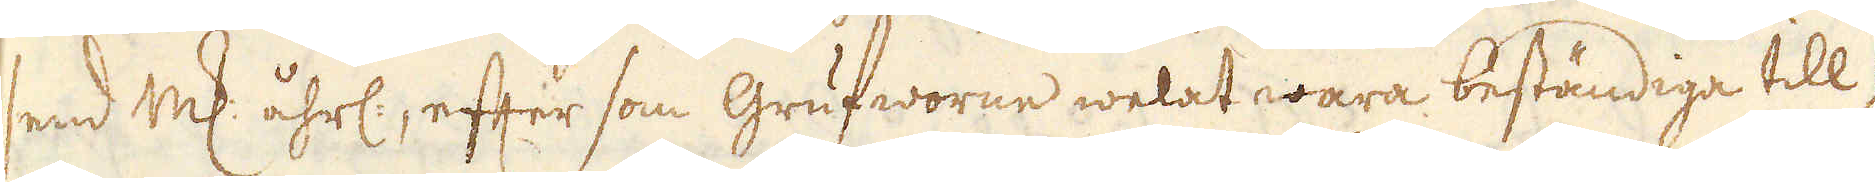send marker åhrl, efter som Grufworne welat wara beständiga till
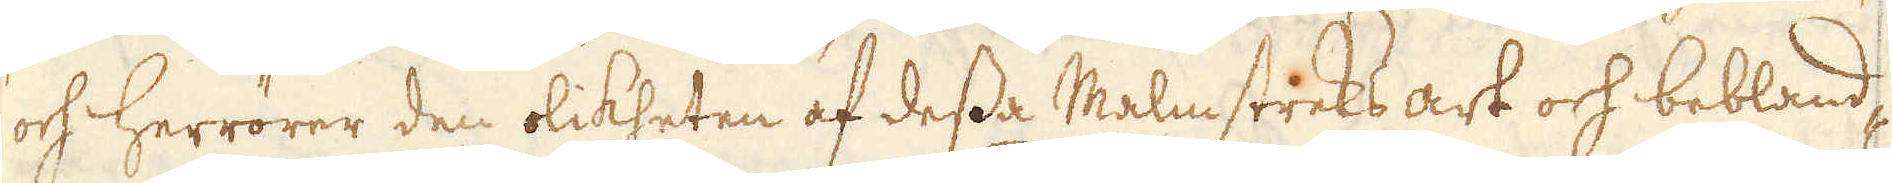och Herrörer den olikheten af dessa Malmstreks art och bebland-
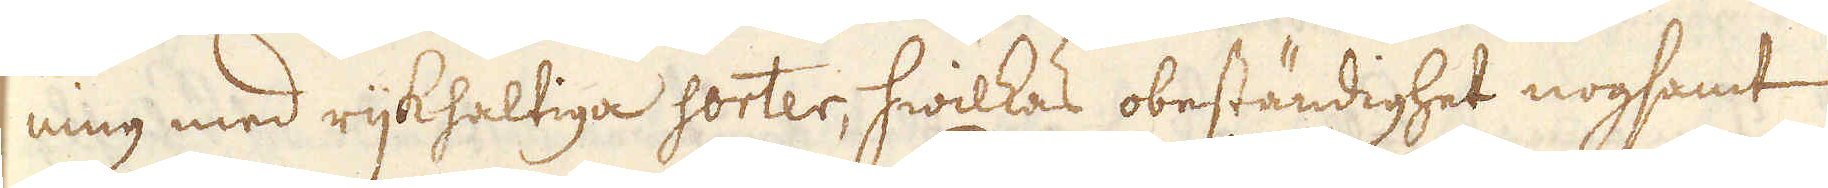ning med rijkhaltiga sorter, hwilkas obeständighet nogsamt
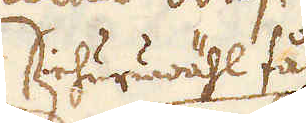ihurwähl få
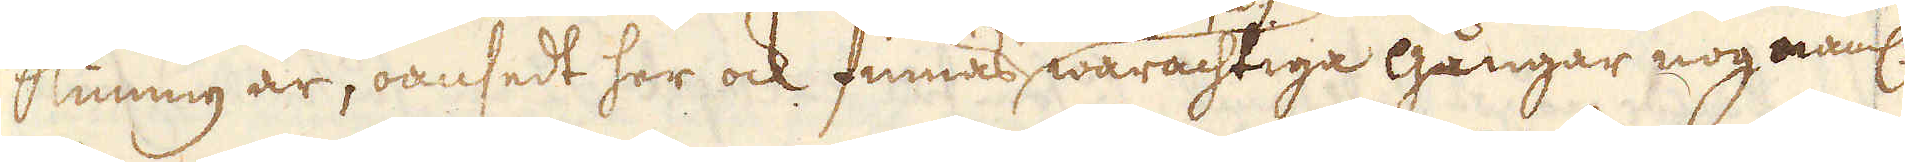kunng är, oansedt her ock finnas, warachtiga gångar nog näml:
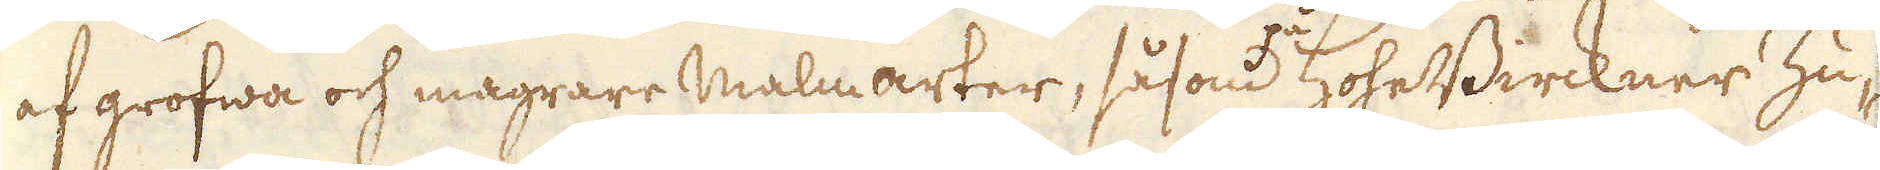af grofwa och magrare Malmarter, såsom på HohesBirckner Zu-
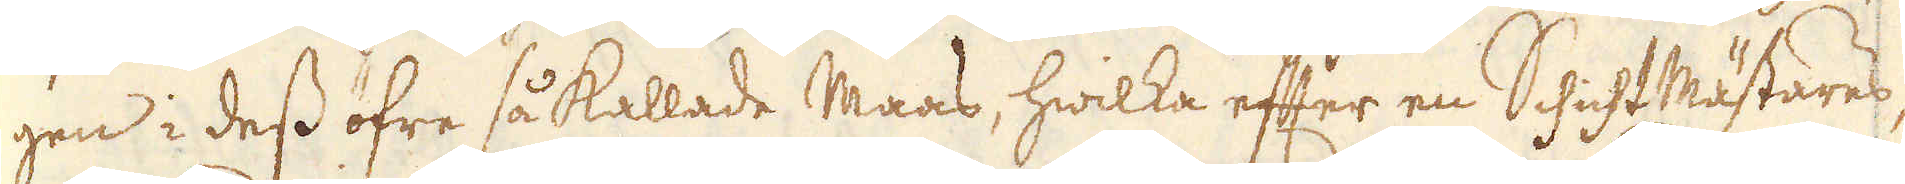gen i dess öfre så kallade Maas, hwilka efter en SchichtMästares,
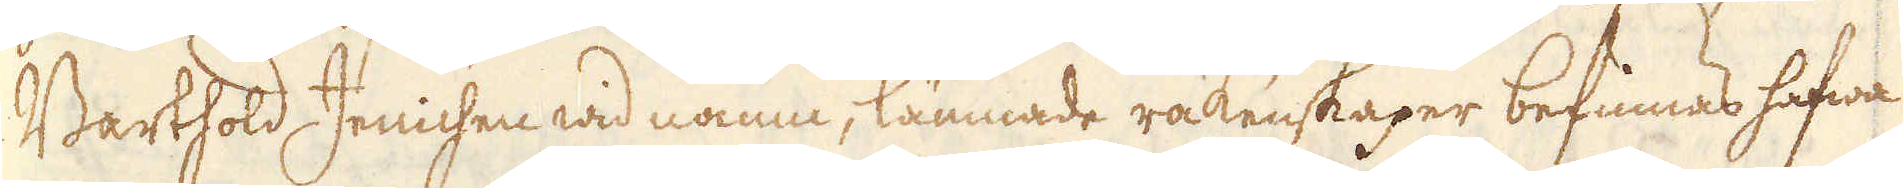Barthold Jenichen wid namn, lämnade räkenskaper befinnas hafwa
